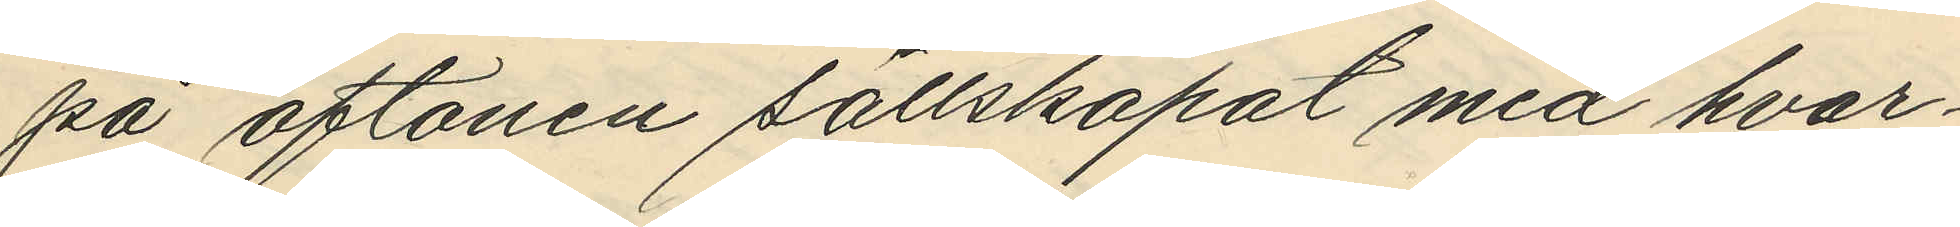på aftonen sällskapat med hvar¬
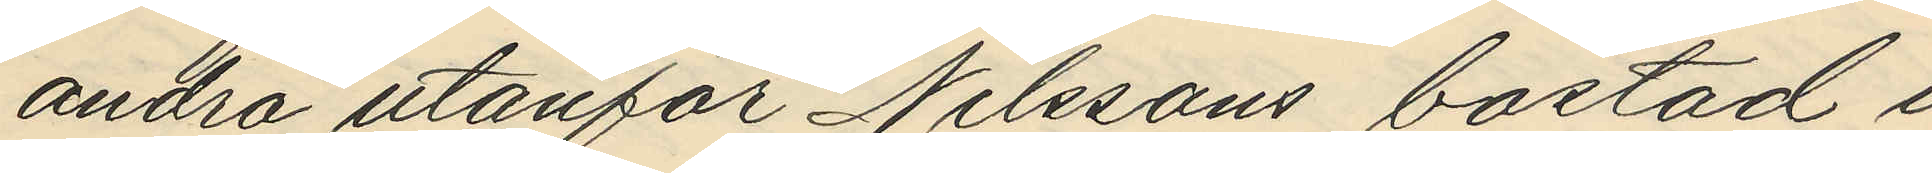andra utanför Nilssons bostad i
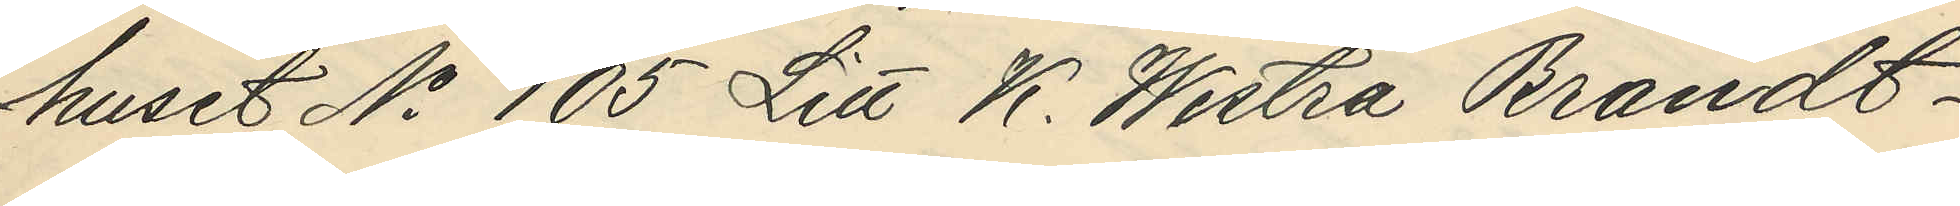huset No 105 Litt K. Westra Brandt¬
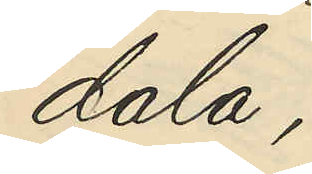dala;
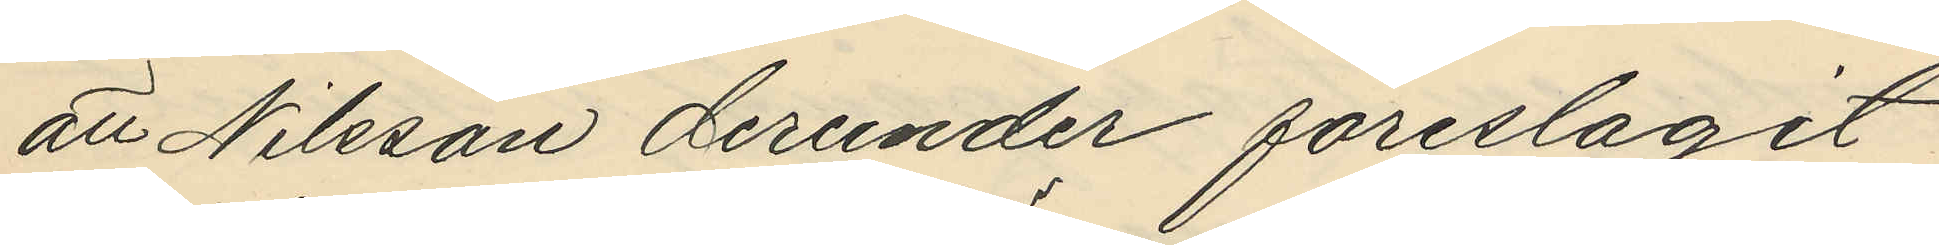att Nilsson derunder föreslagit
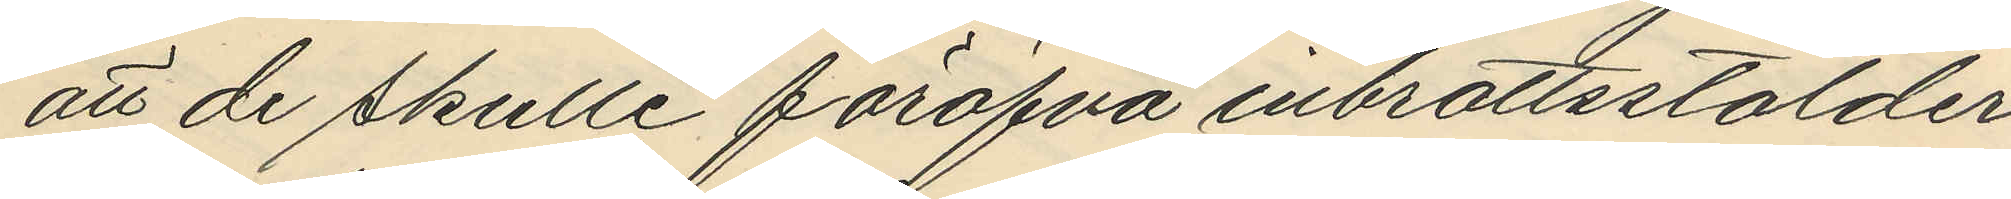att de skulle föröfva inbrottsstölder
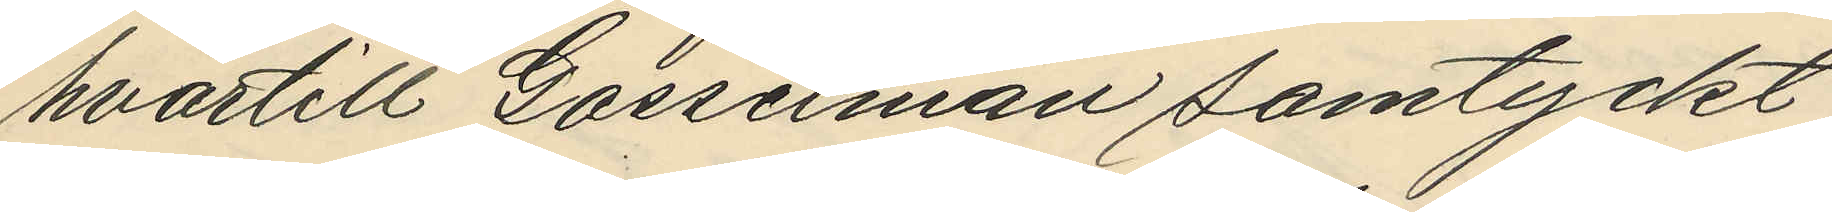hvartill Gosselman samtyckt,
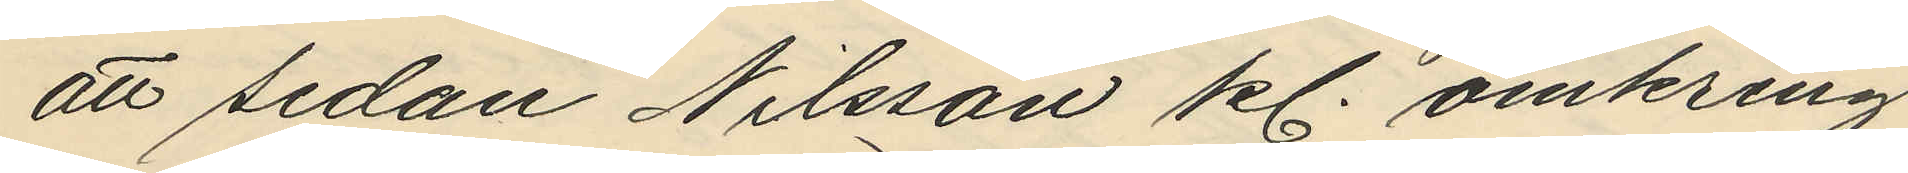att sedan Nilsson kl. omkring
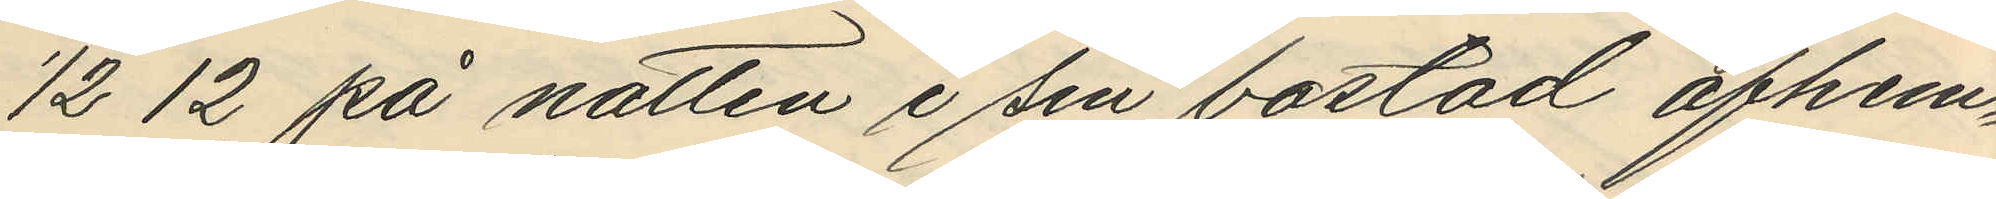½ 12 på natten i sin bostad afhem¬
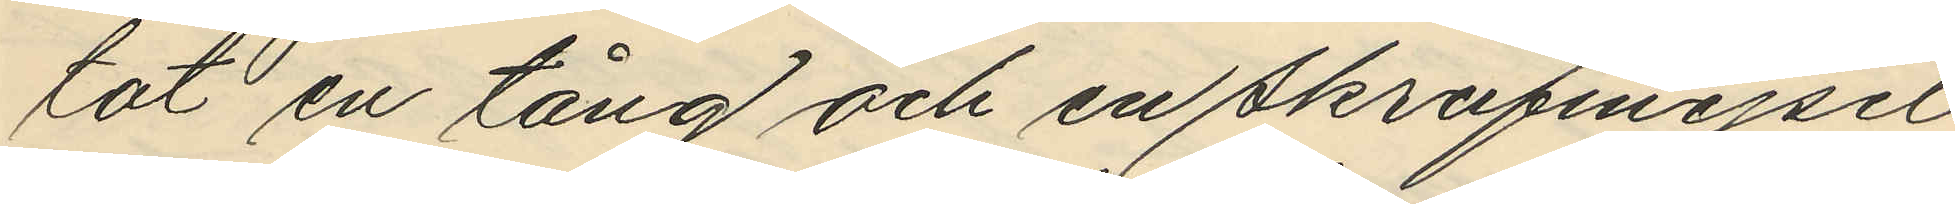tat en tång och en skrufmejsel
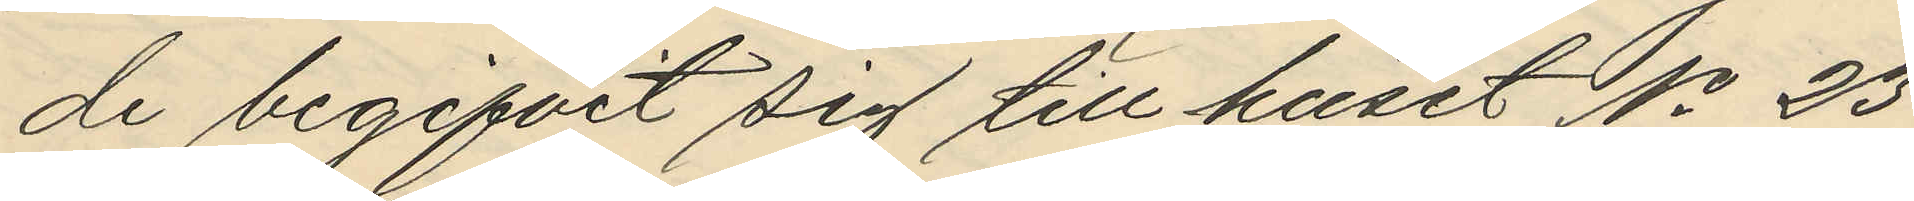de begifvit sig till huset No 23
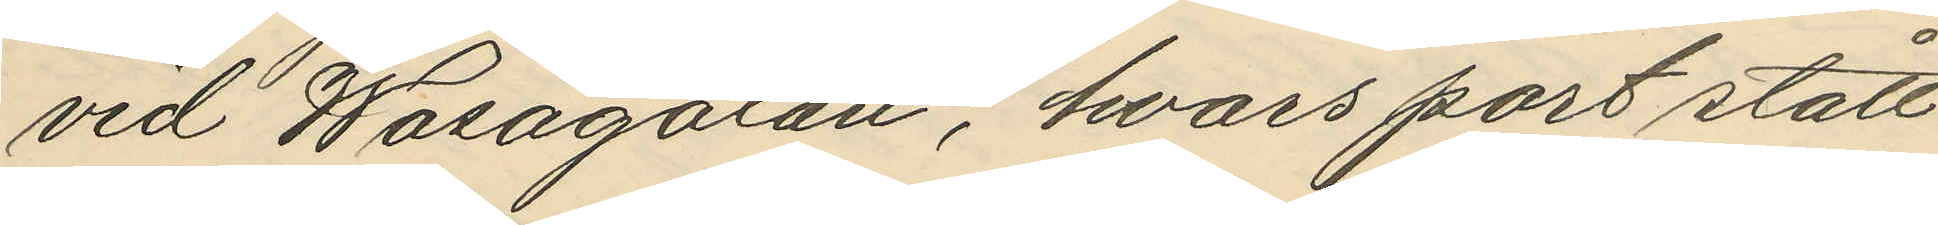vid Wasagatan, hvars port stått
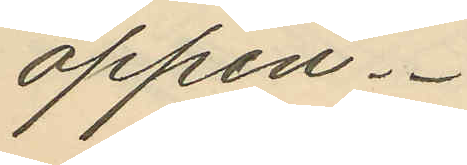öppen,
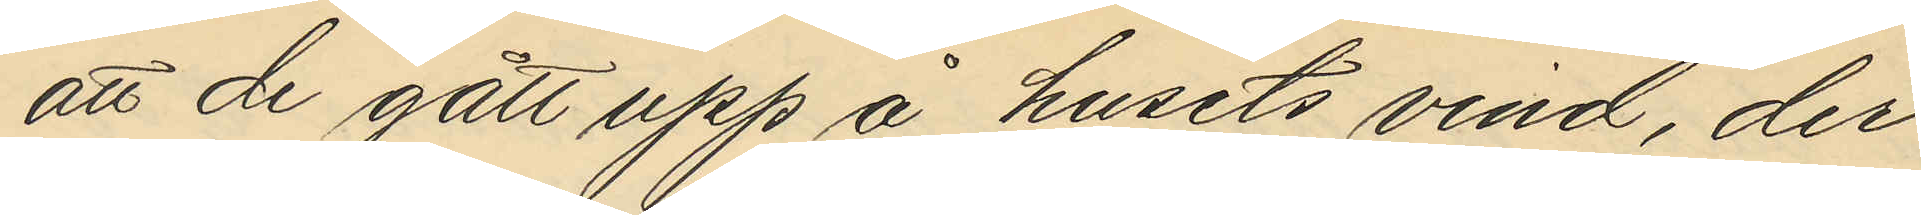att de gått upp å husets vind, der
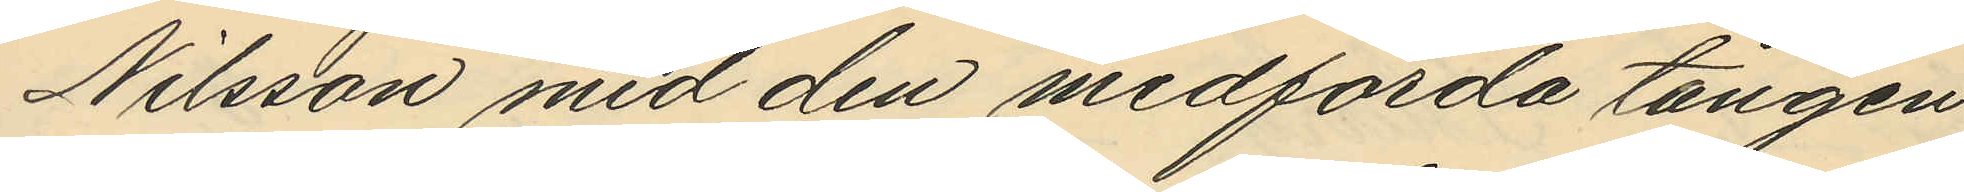Nilsson med den medförda tången
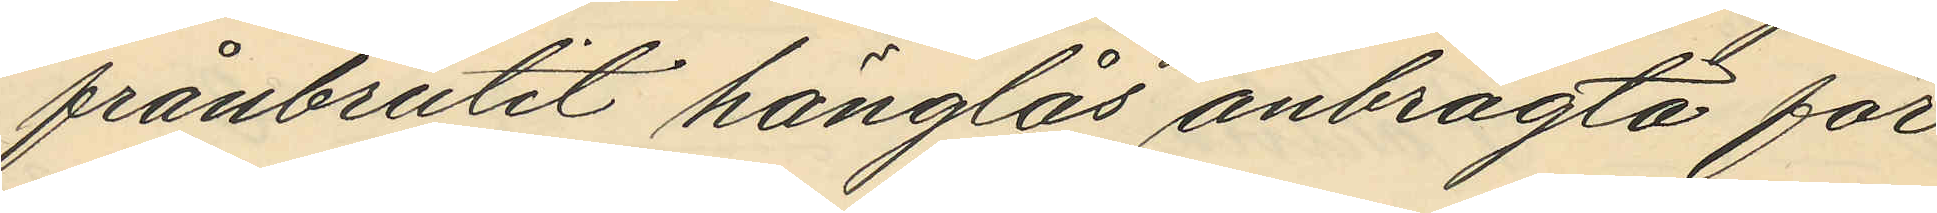frånbrutit hänglås anbragta för
